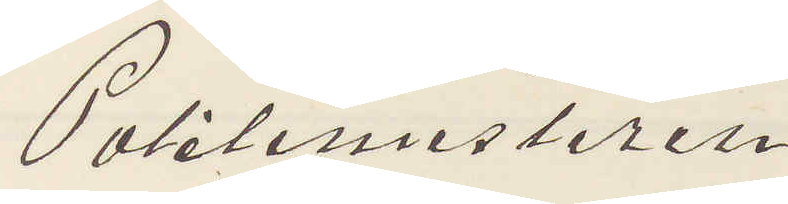Politimesteren
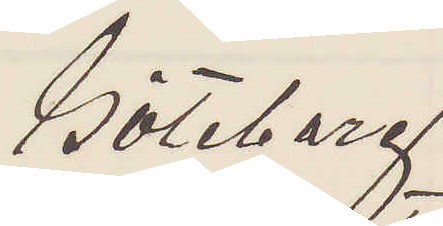Göteborg.
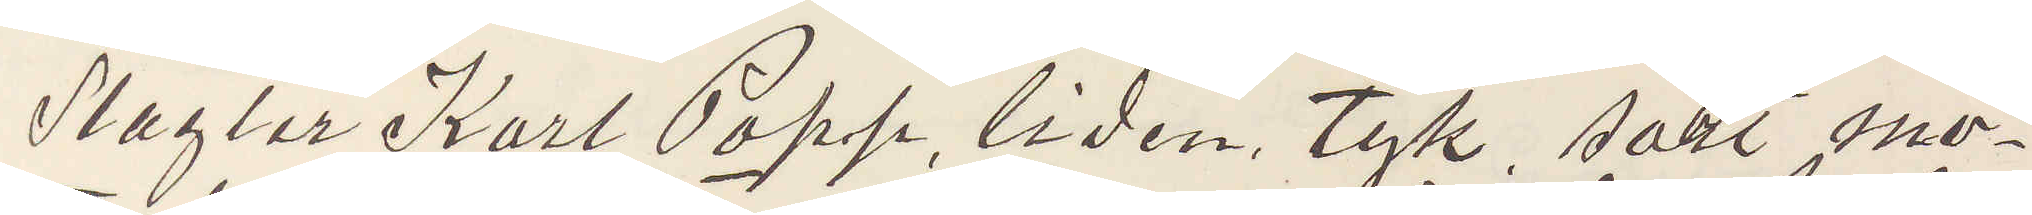Slagter Karl Popp, liden, tyk, sort mo¬
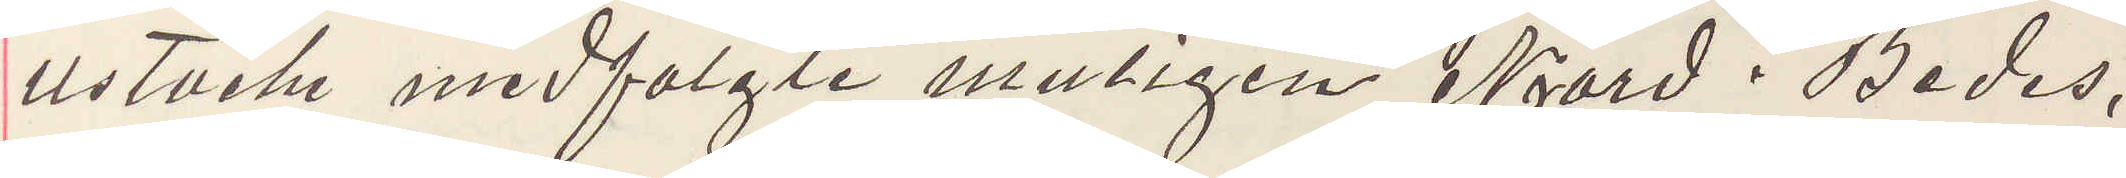ustache medfolgte muligen Njard. Bedes,
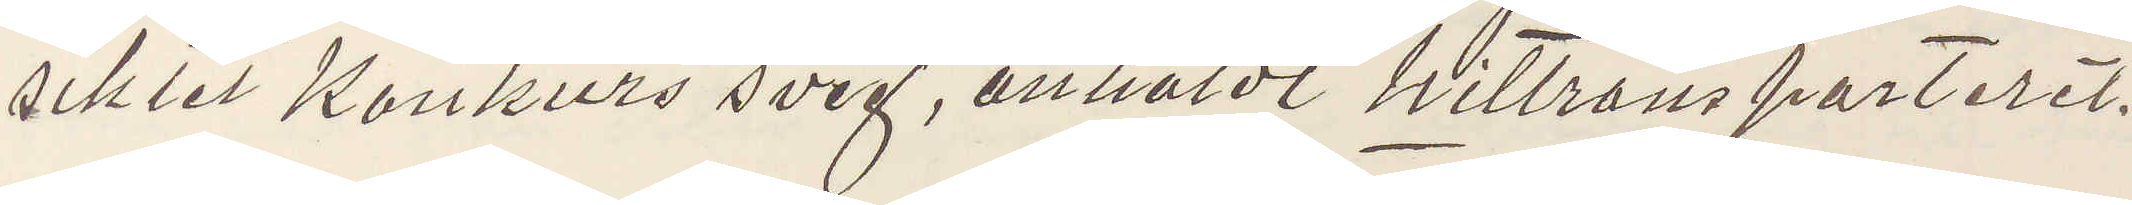siktet Konkurs sveg, anholdt hittransporteret.
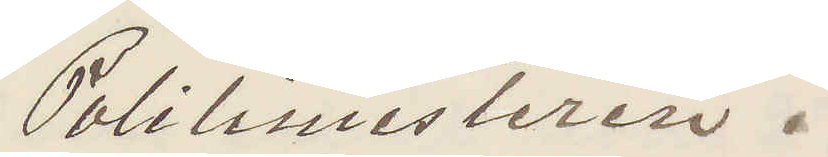Politimesteren.
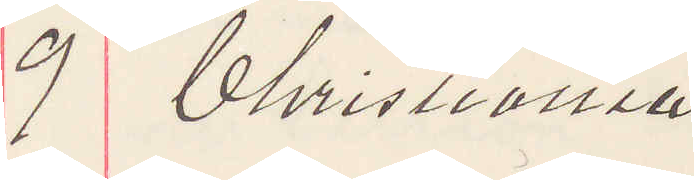9 Christiania
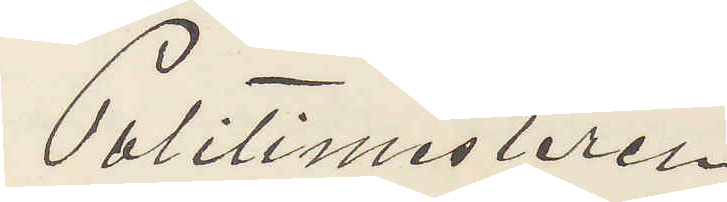Politimesteren
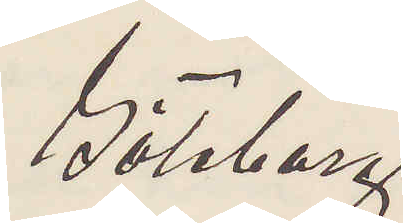Göteborg
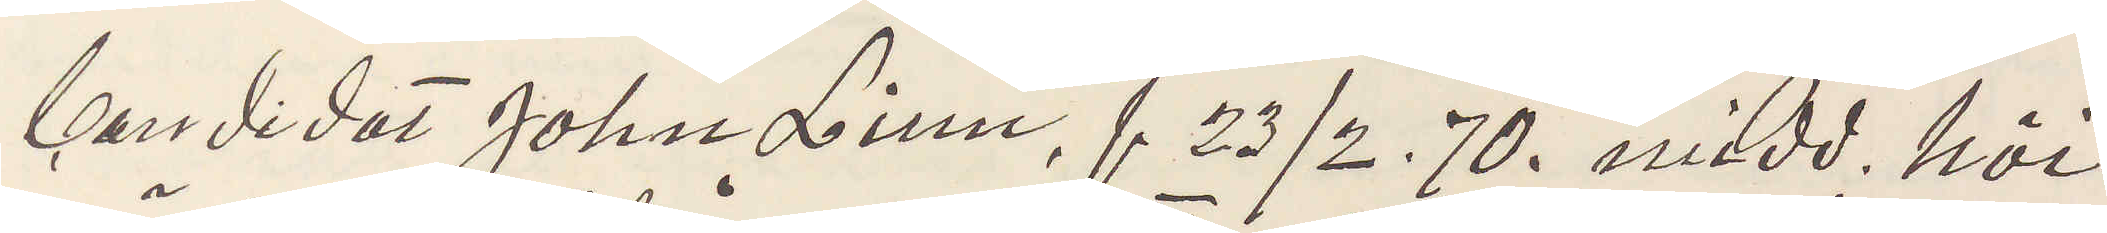Candidat Johan Linn, f 23/2 70. midd. höi
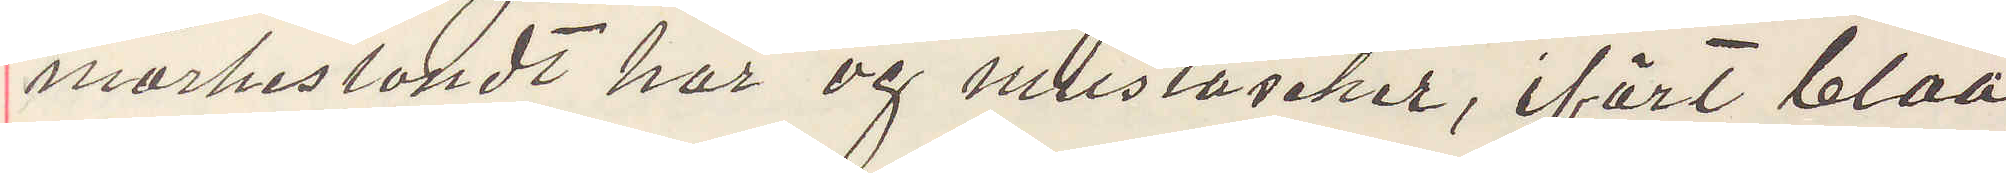mörkeslondt hår og mustascher, ifört blaa
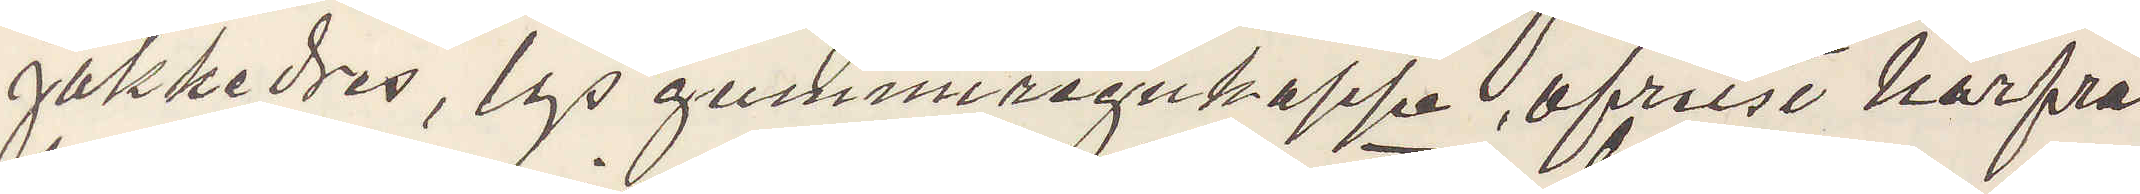jakkedres, lys gummiregnkappe, afreist härfra
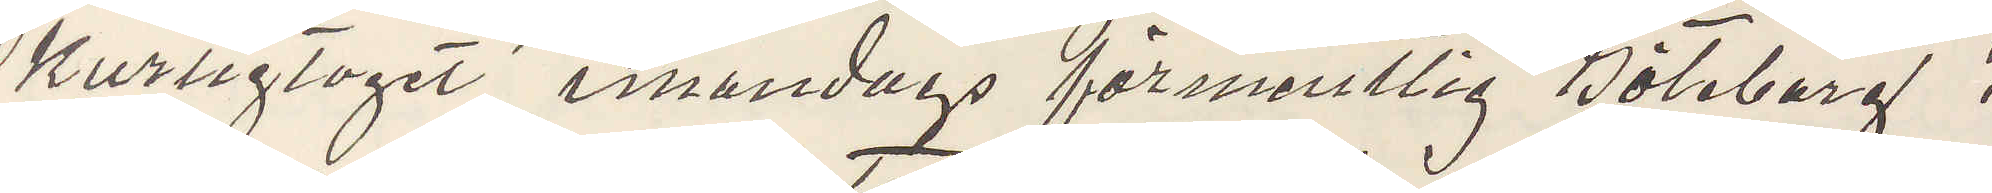Hurtigtoget innandags förmentlig Göteborg,
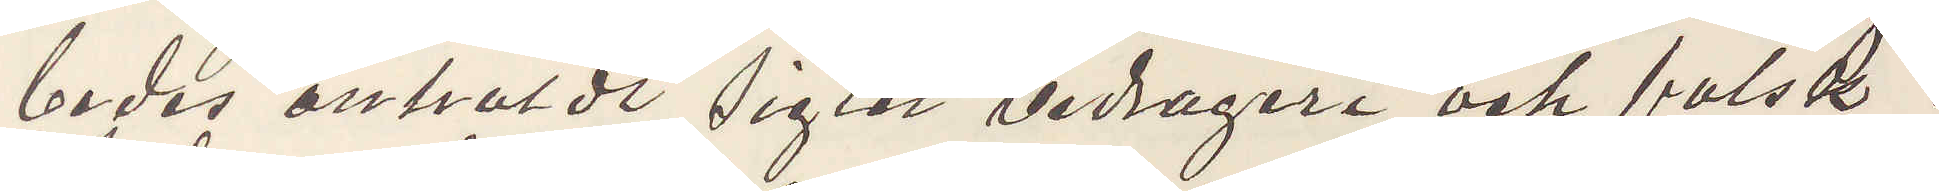bedes anholdt sigter bedrageri och falsk,
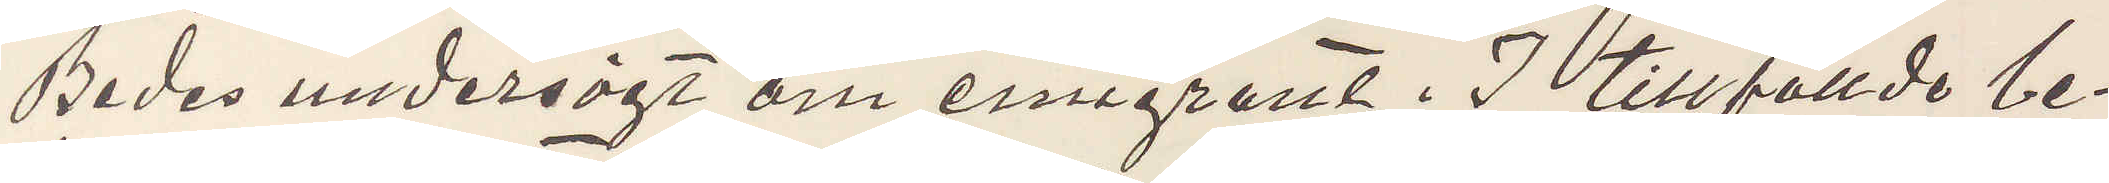Bedes undersögt om emigrant. I tillfällde be¬
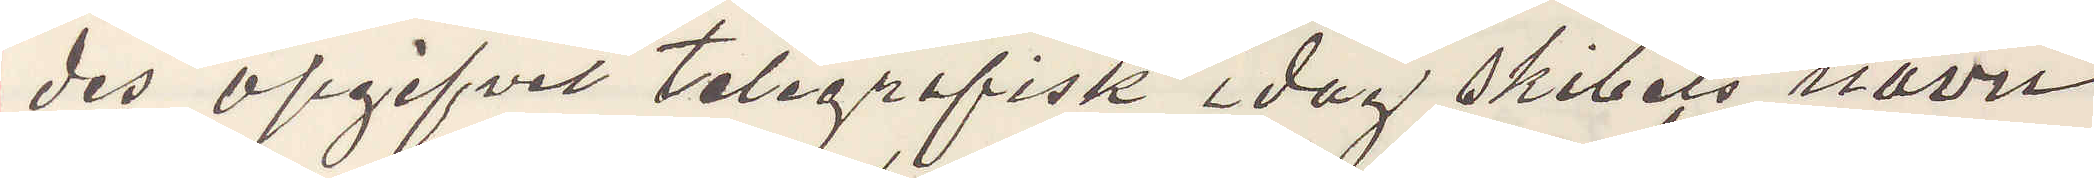des opgifvet telegrafisk idag skibets navn
